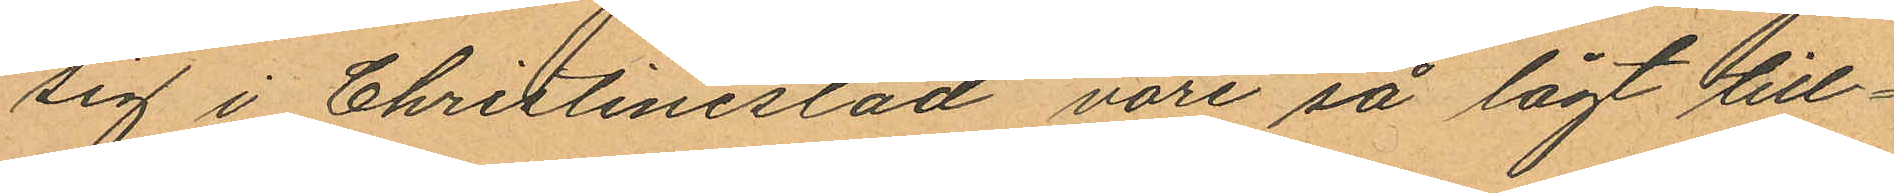sig i Christinestad vore så lågt till¬
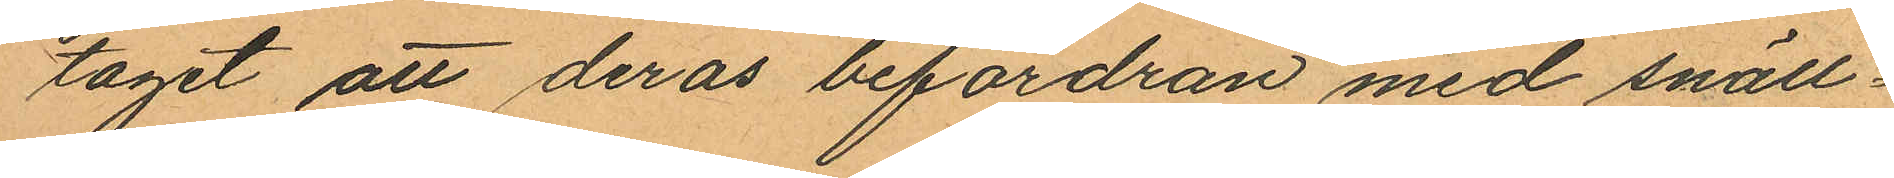taget att deras befordran med snäll¬
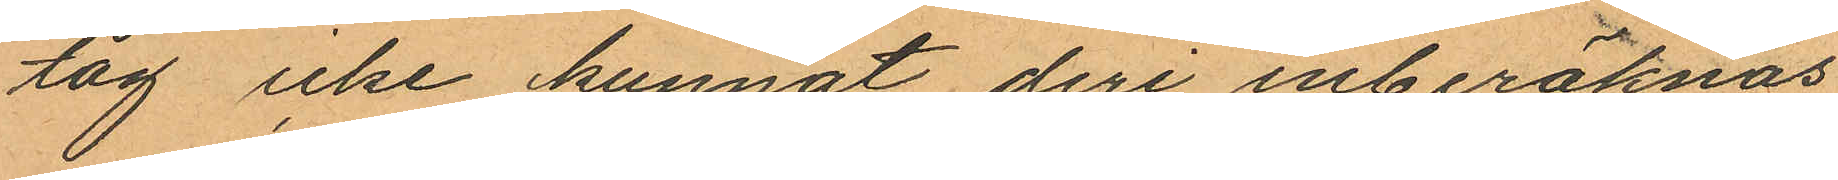tåg icke kunnat deri inberäknas
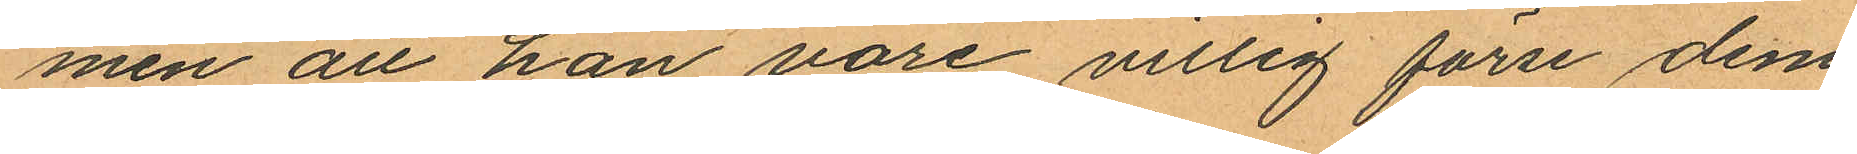men att han vore villig förse dem
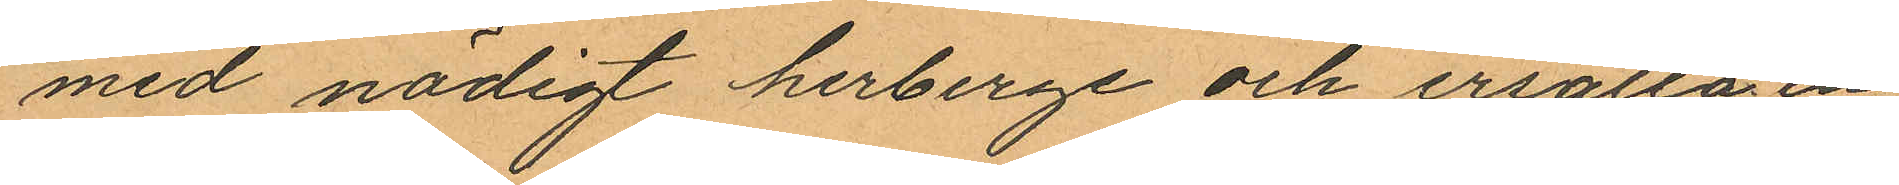med nödigt herberge och ersätta en
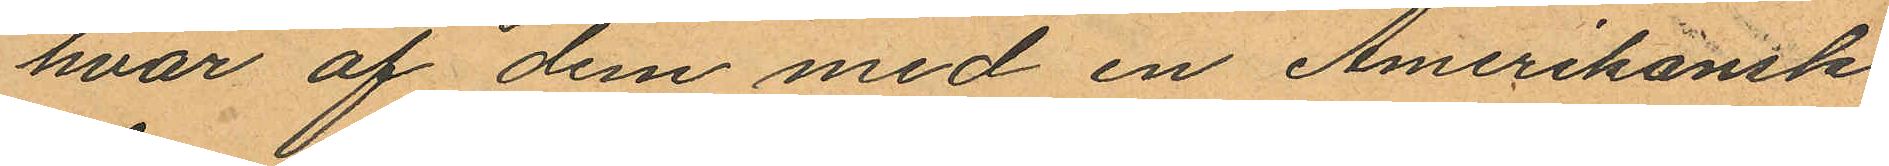hvar af dem med en Amerikansk
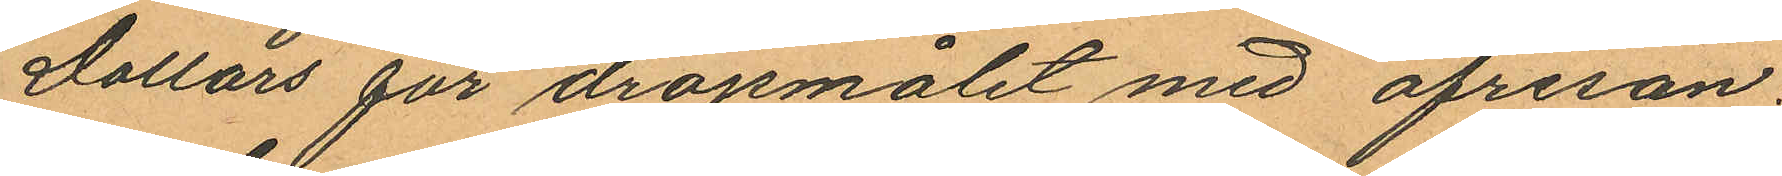Dollars för dröjsmålet med afresan.
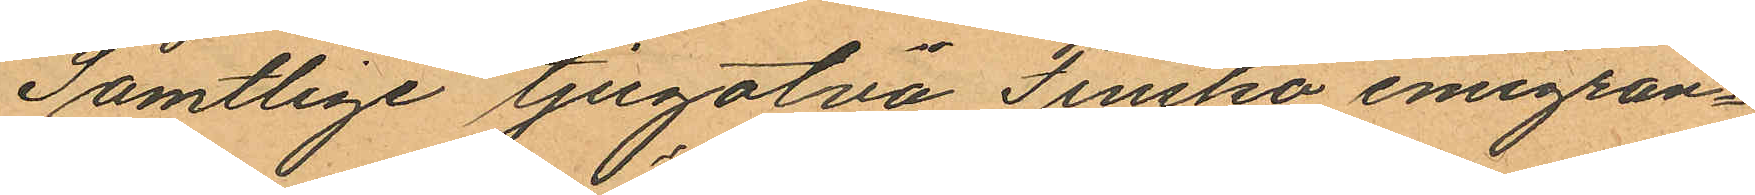Samtlige tjugotvå Finska emigran¬
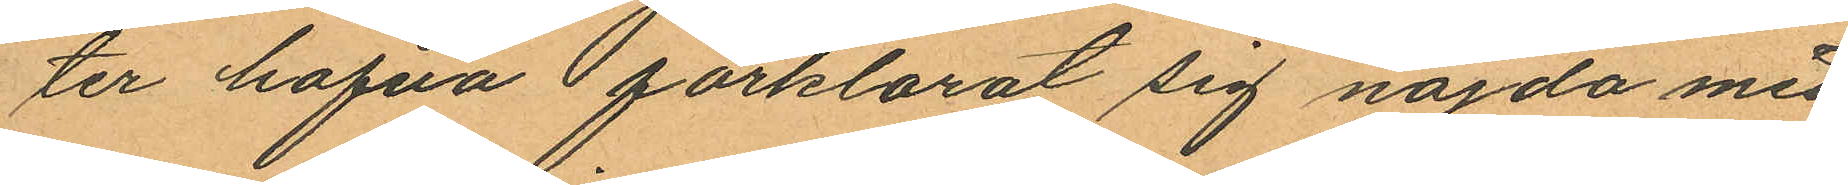ter hafva förklarat sig nöjda med
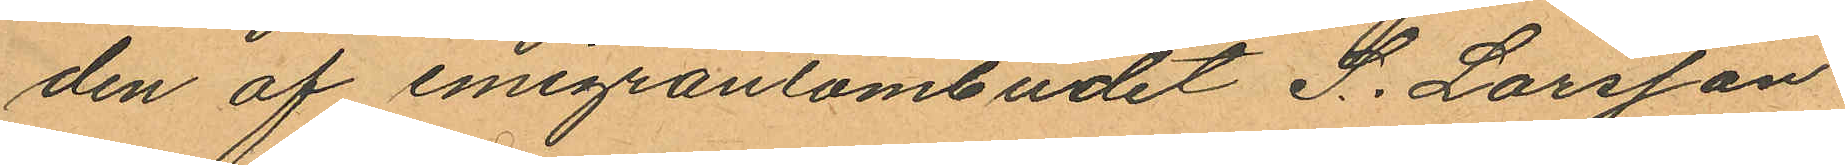den af emigrantombudet S. Larsson
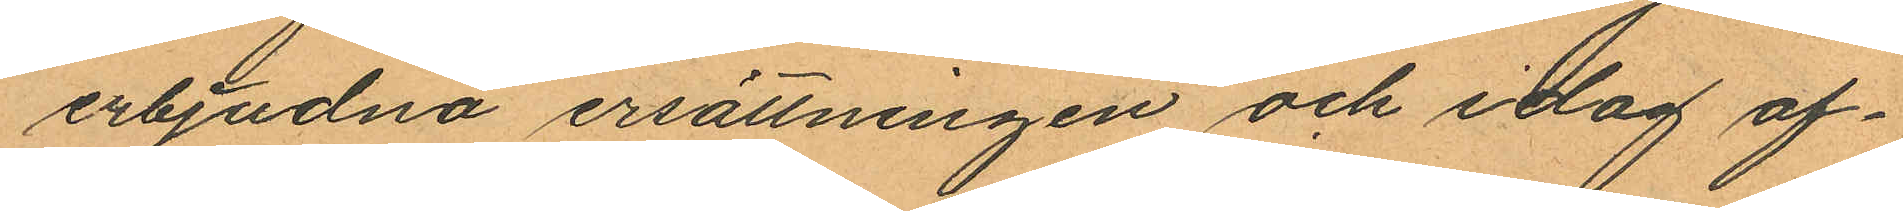erbjudna ersättningen och idag af¬
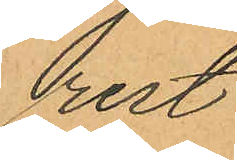rest.
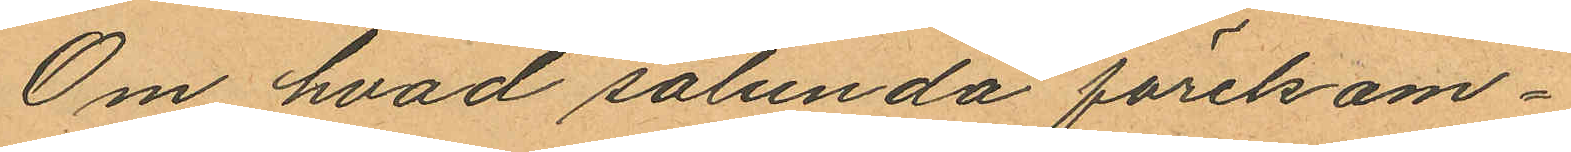Om hvad sålunda förekom¬
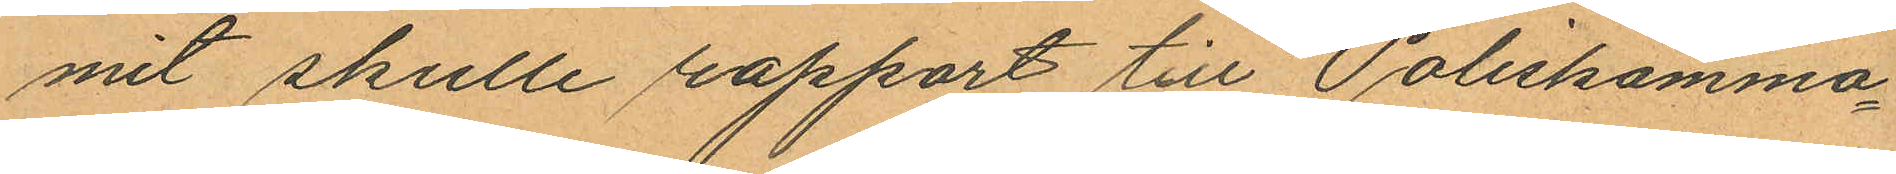mit skulle rapport till Poliskamma¬
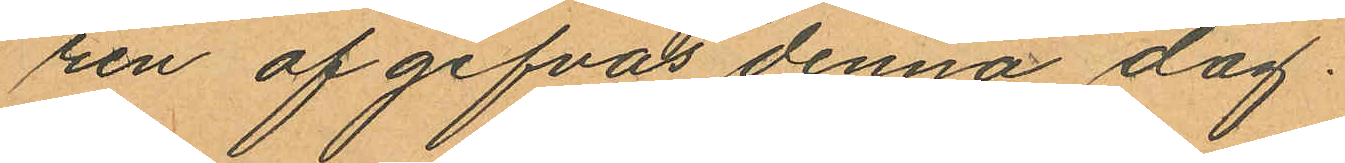ren af gifvas denna dag.
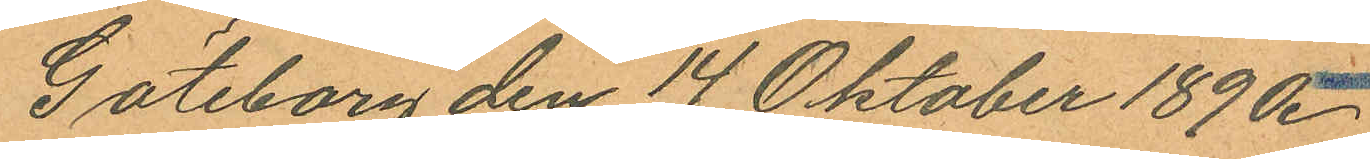Göteborg den 14 Oktober 1890.
